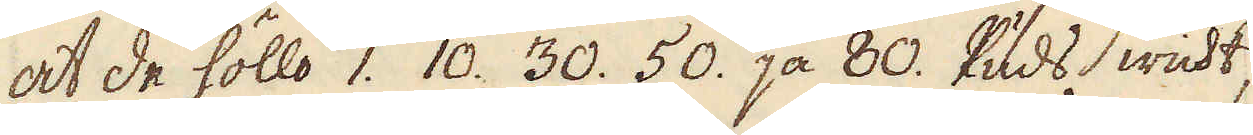at de höllo 1. 10. 30. 50. ja 80. Puds wicht,
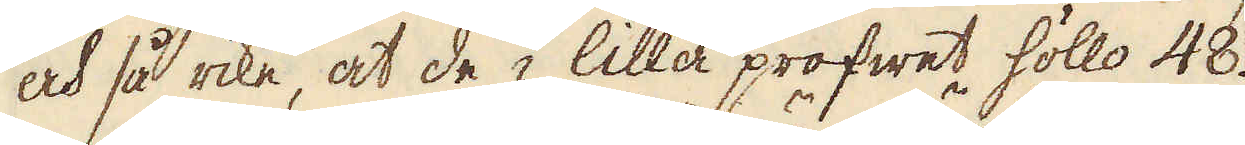och så rike, at de i lilla profwet höllo 48.
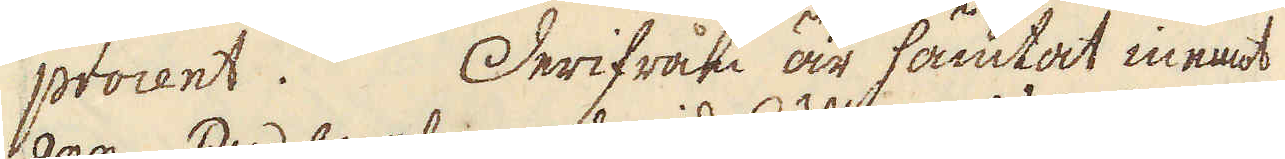procent. Derifrån är hämtat inemot
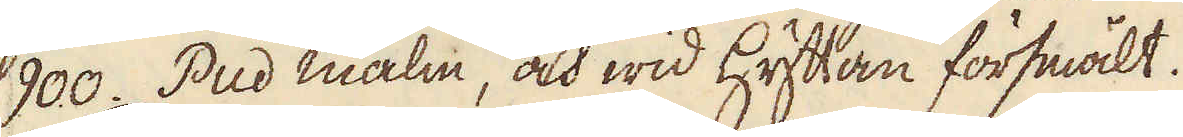900. Pud malm, och wid Hyttan försmält.
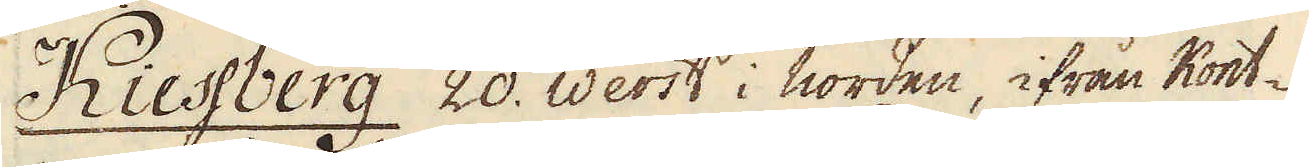Kiessberg 20. Werst i norden, ifrån Kont-
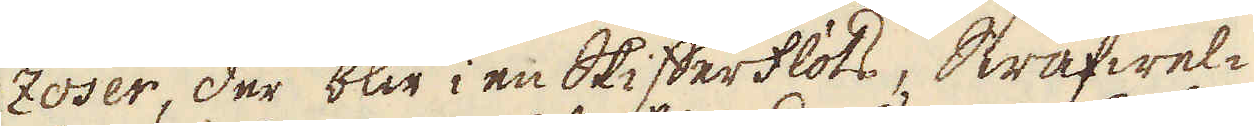zoser, der blir i en Skifferflöts, Swafwel-
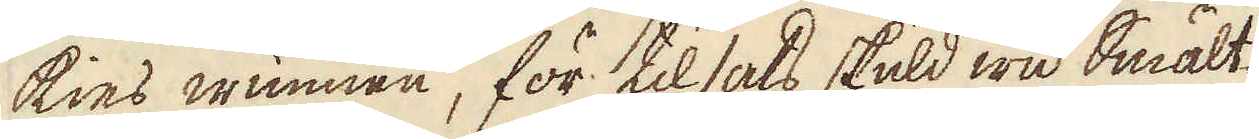kies wunnen, för tilsats skuld wid Smält-
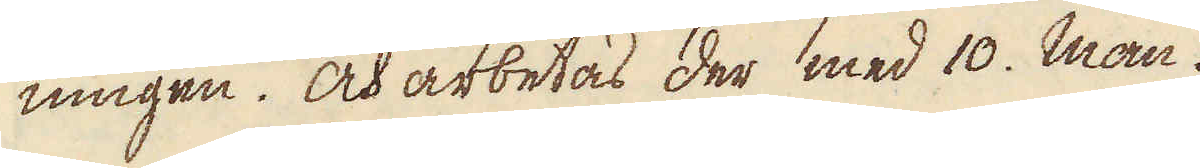ningen. Och arbetas der med 10. man.
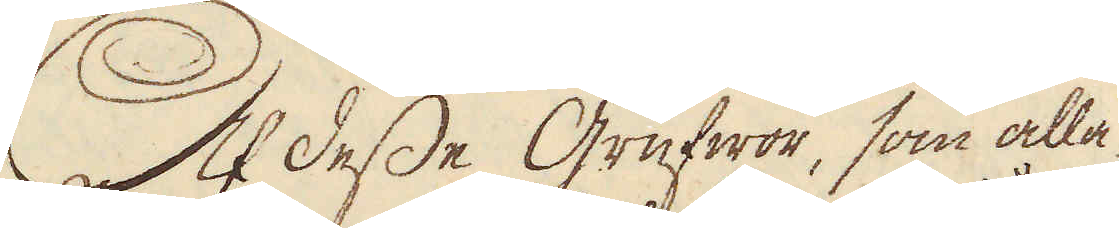Af desse Grufwor, som alla
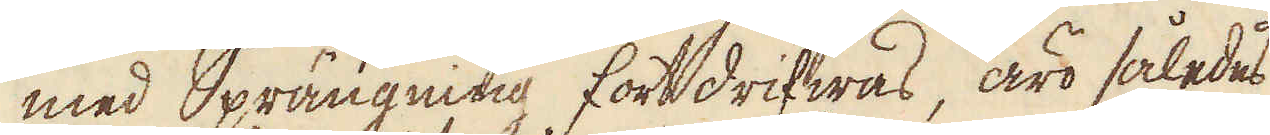med Sprängning fortdrifwas, äro således
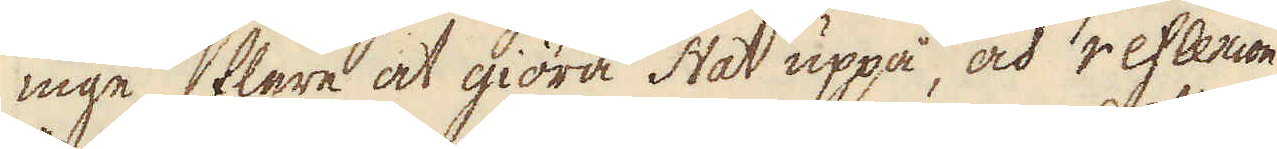inge flere at giöra stat uppå, och reflexion
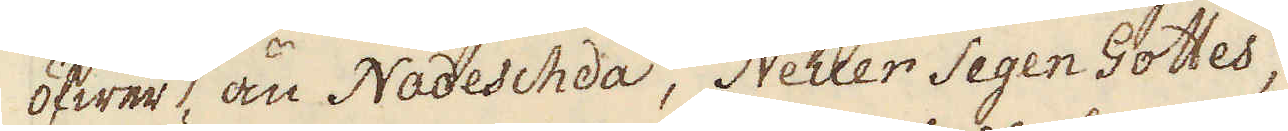öfwer, än Nadeschda, Neuer Segen Gottes,
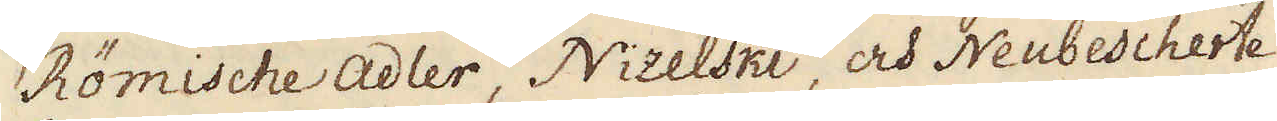Römische Adler, Nizelski, och Neubescherte
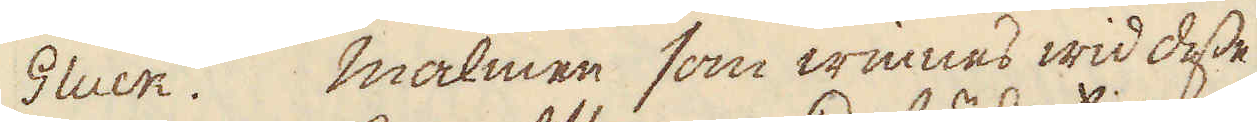Gluck. Malmen som winnes wid desse
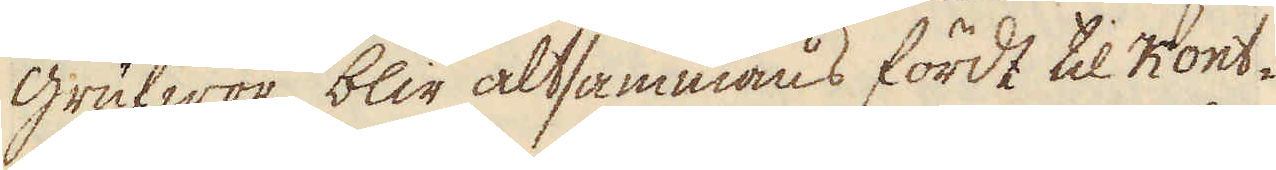grufwor, blir altsammans fördt til Kont-
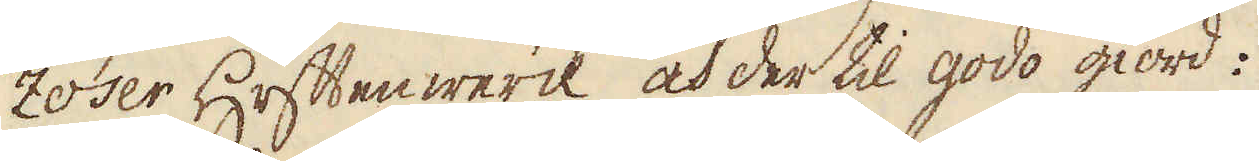zoser Hyttenwerck och der til godo giord:
